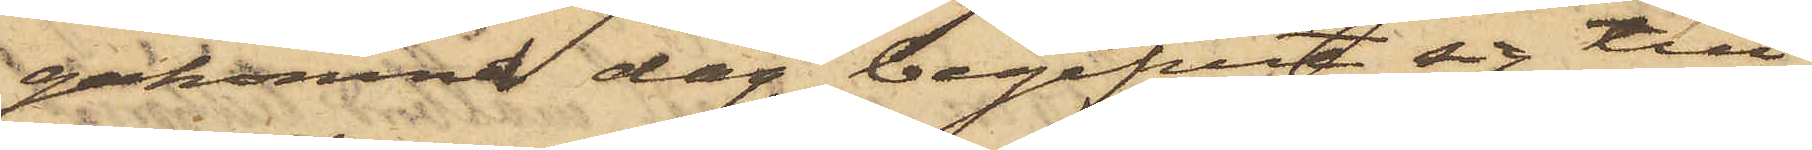gakomna dag begifvit sig till
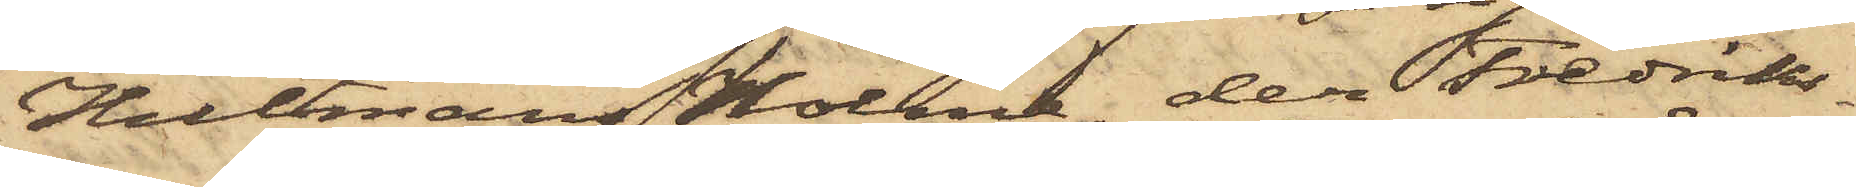Hultmans Holme, der Fredriks¬
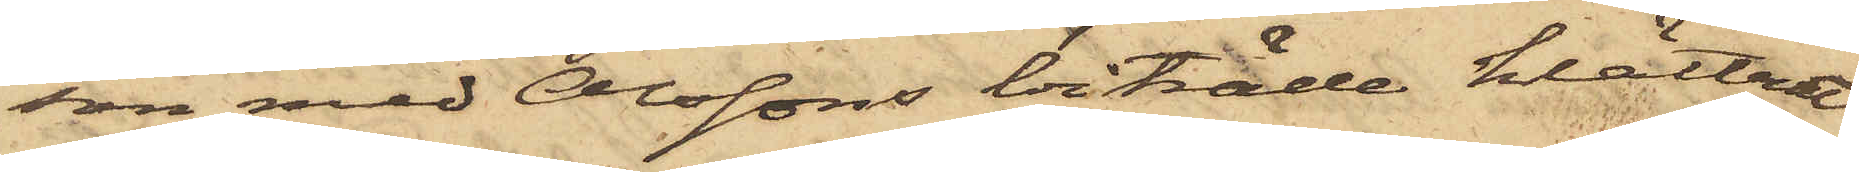son med Olssons biträde klättrat
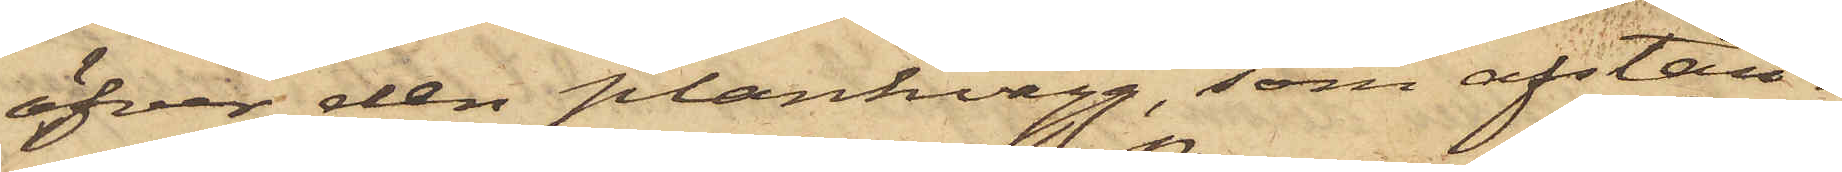öfver den plankvägg, som afstän¬
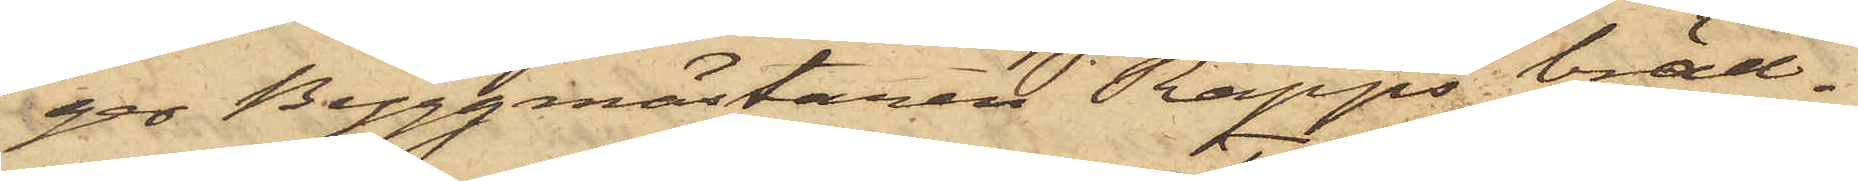ger Byggmästaren Rapps bräd¬
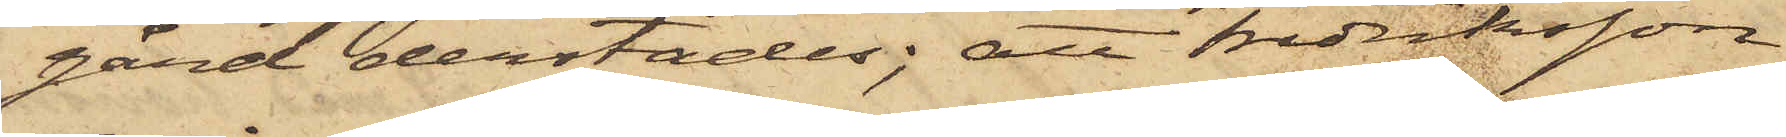gård derstädes; att Fredriksson
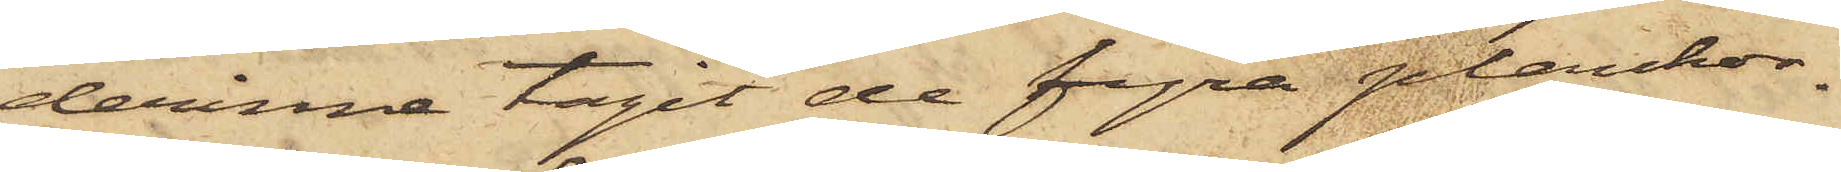derinne tagit de fyra plankor¬
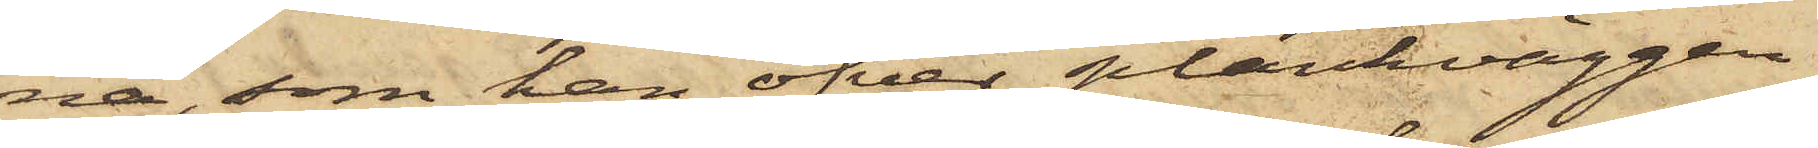na, som han öfver plankväggen
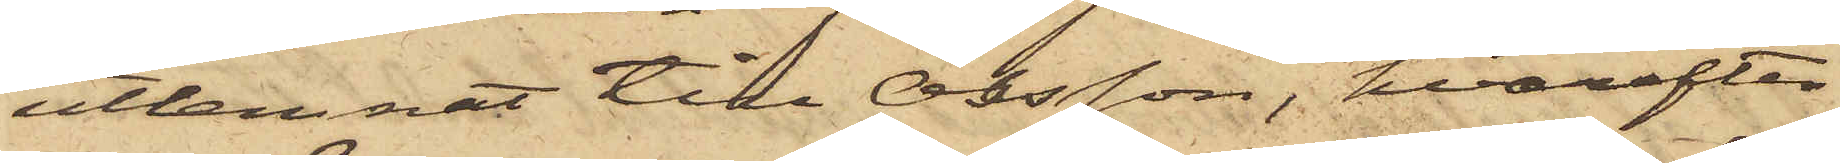utlemnat till Olsson, hvarefter
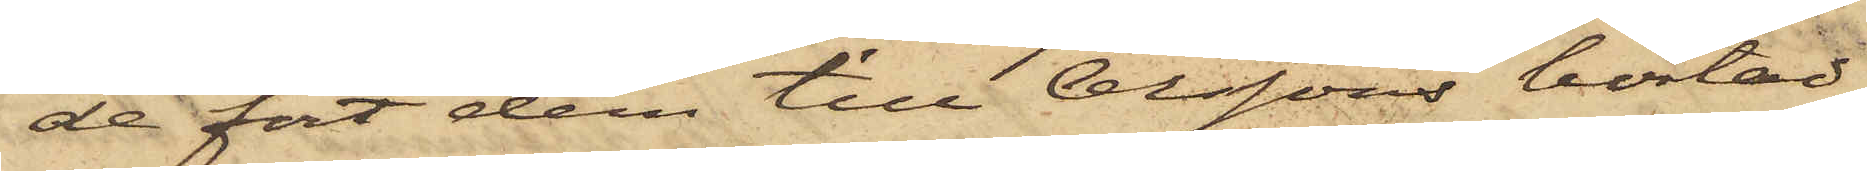de fört dem till Olssons bostad,
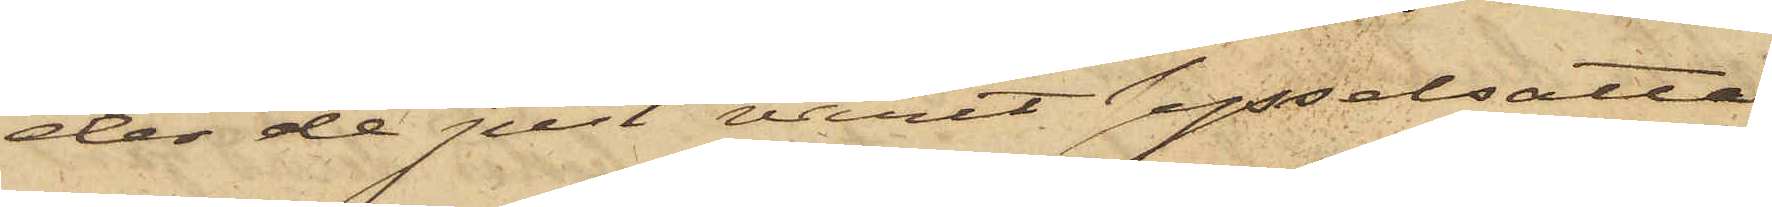der de just varit sysselsatta
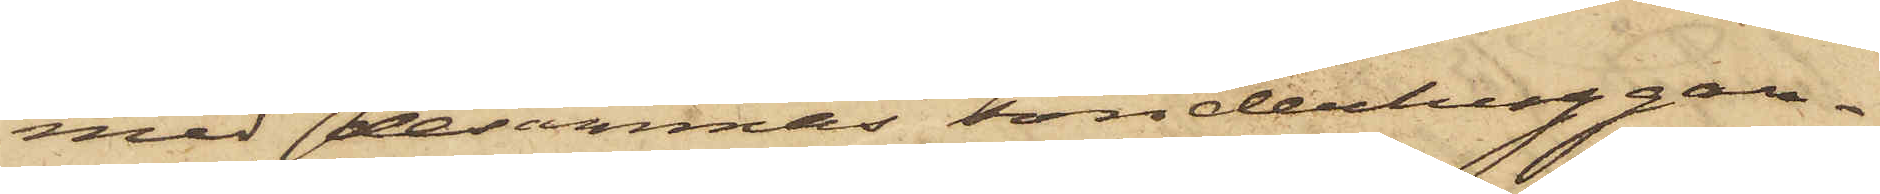med desammas sönderhuggan¬
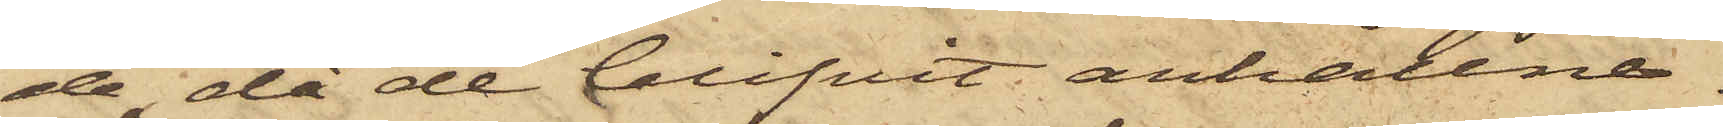de, då de blifvit anhållne.
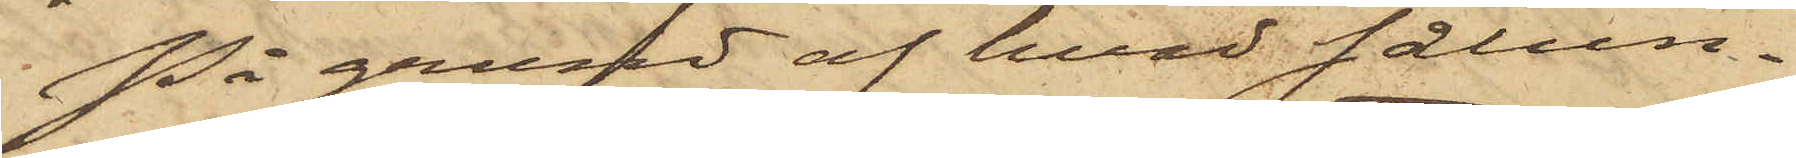På grund af hvad sålun¬
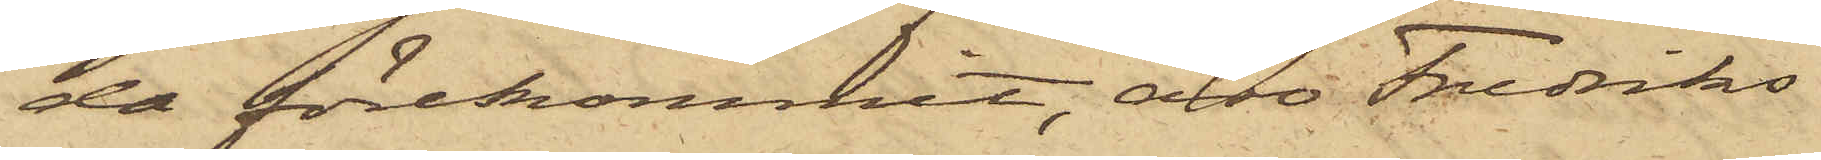da förekommit, äro Fredriks¬
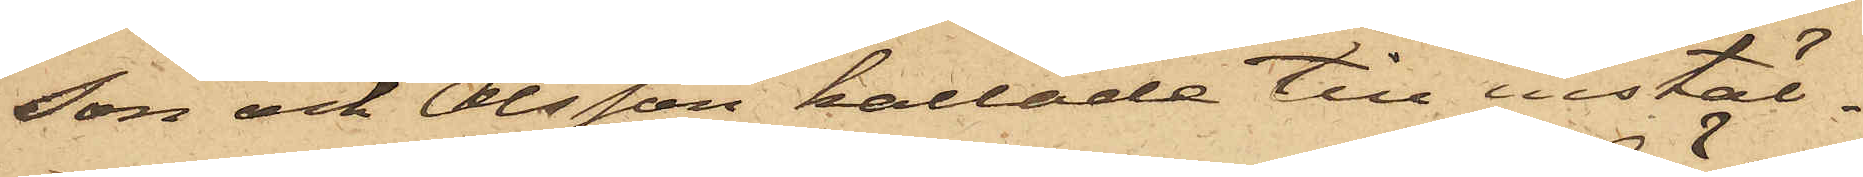son och Olsson kallade till instäl¬
